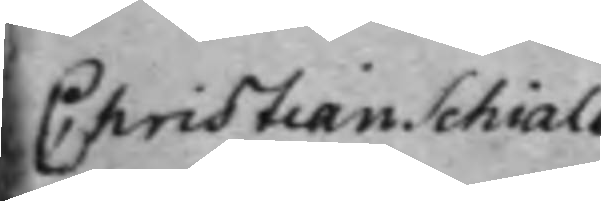Christian Schials
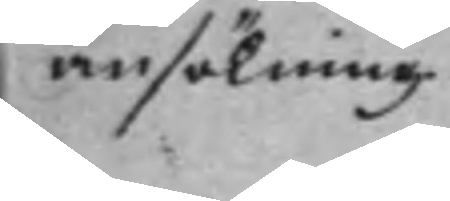ansökning.
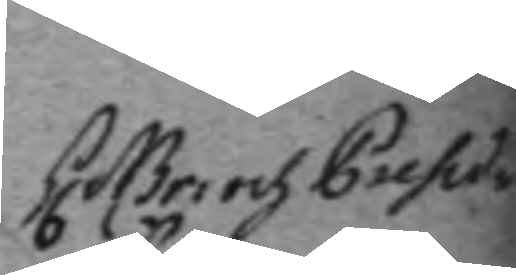h. Br: och Presid. 
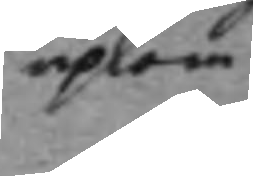upkom
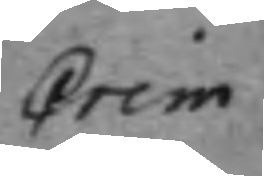Crim. 
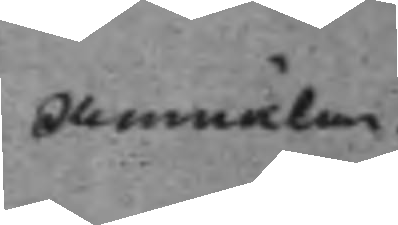Anmälan. 
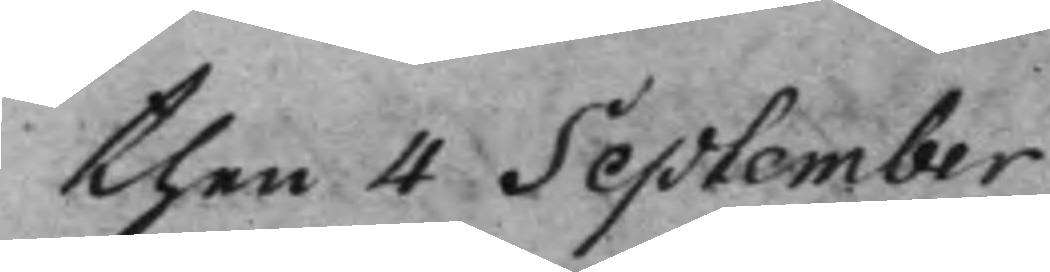then 4 September
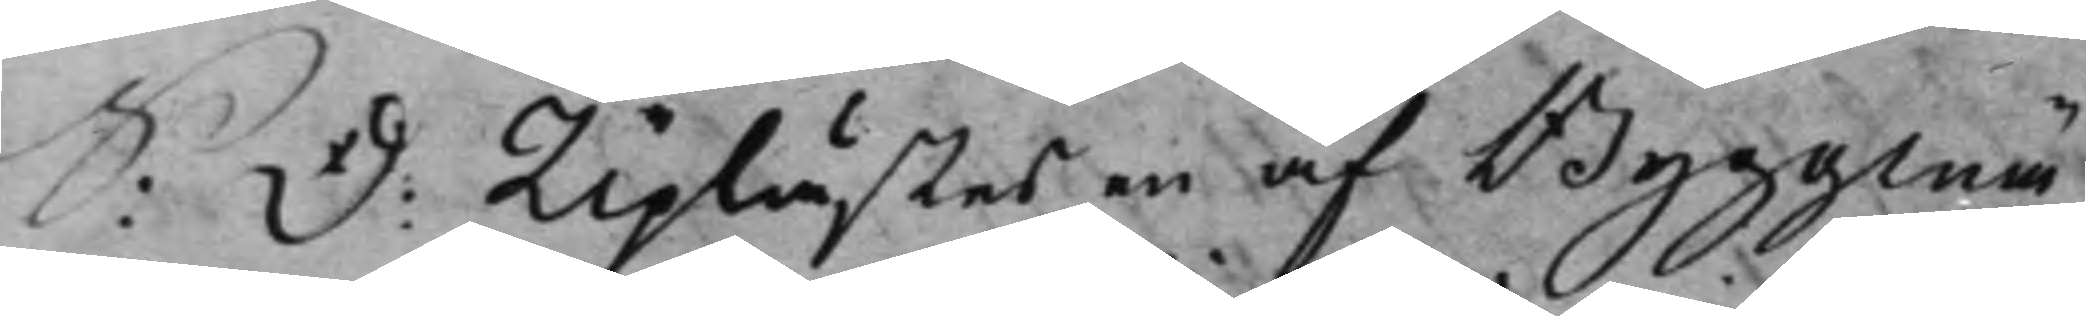S: D: Uplästes en af Byggmä¬ 
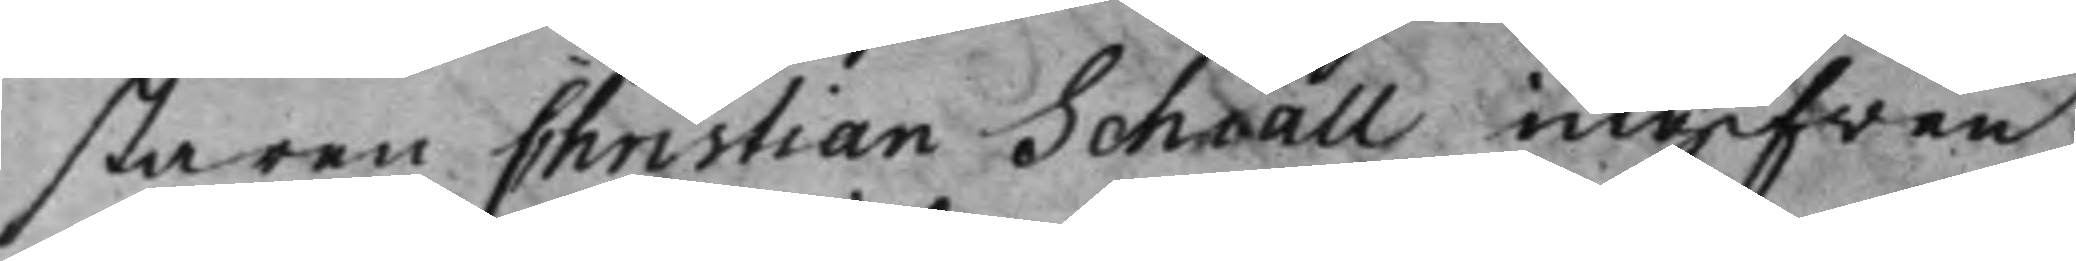staren Christian Schiall ingifwen
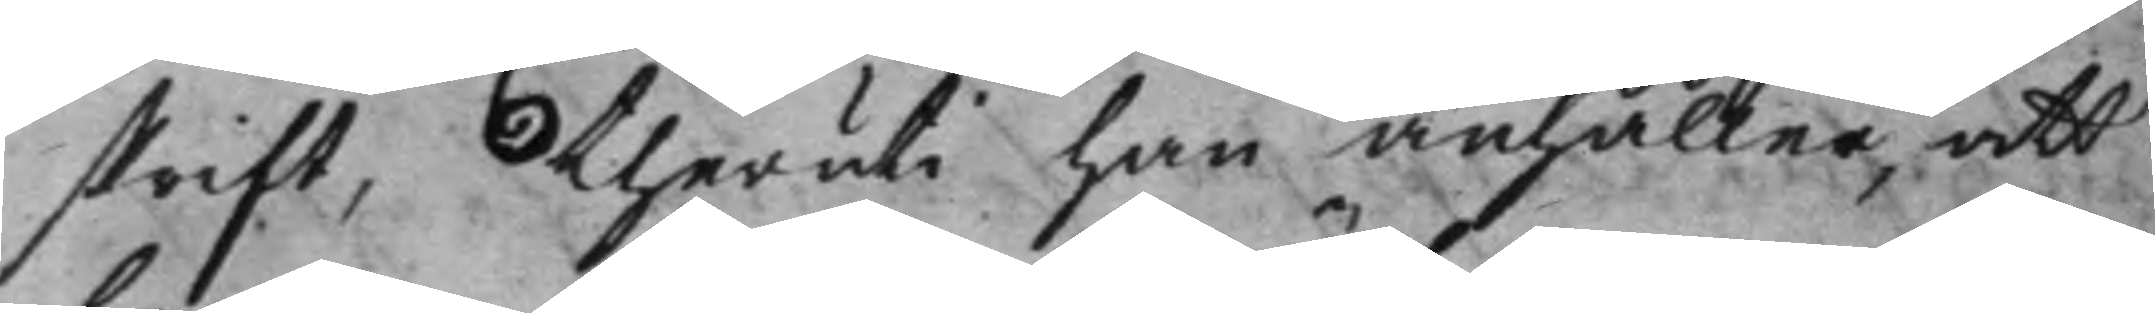skrift, theruti han anhåller, att
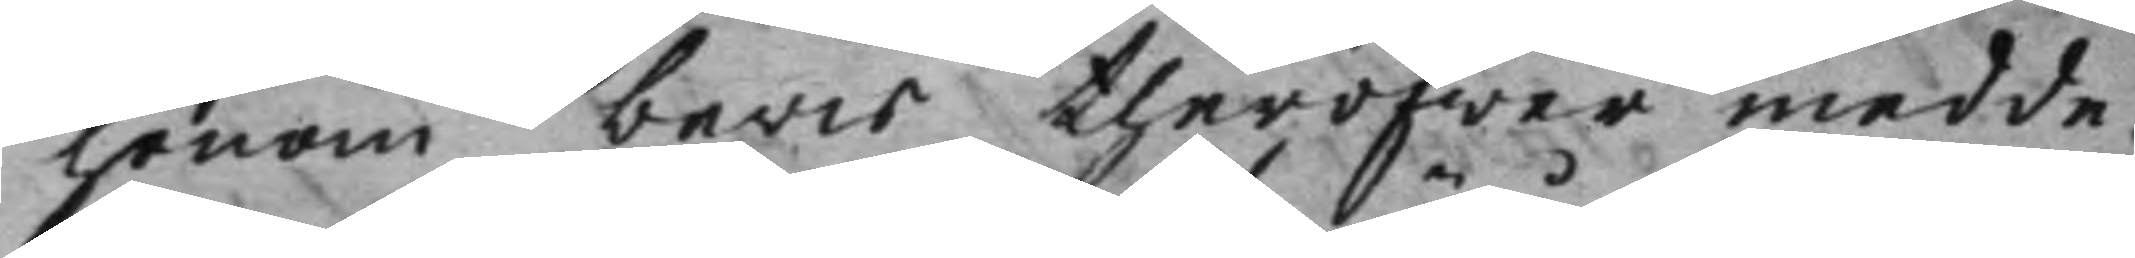honom bevis theröfwer medde¬
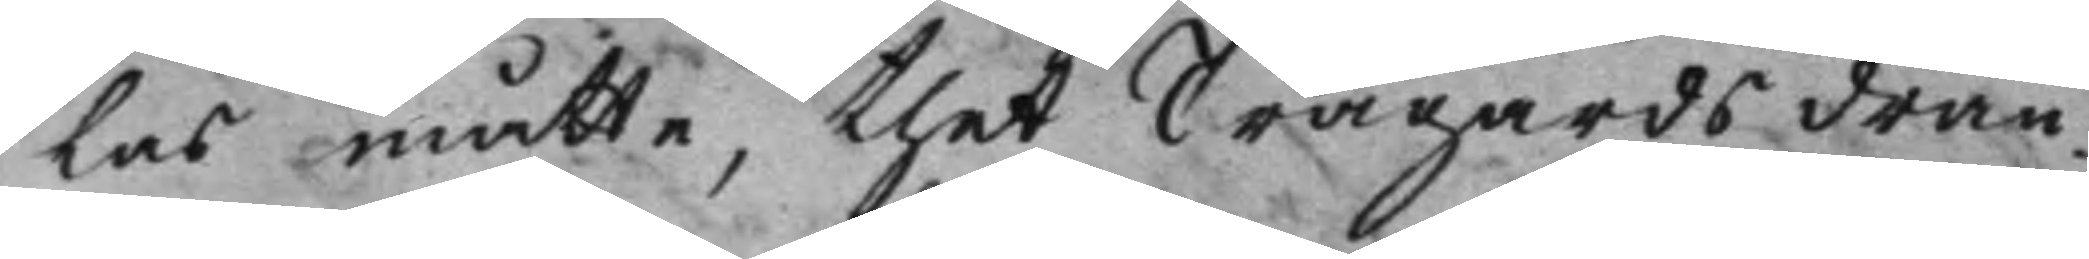las måtte, thet Trägårdsdrän¬
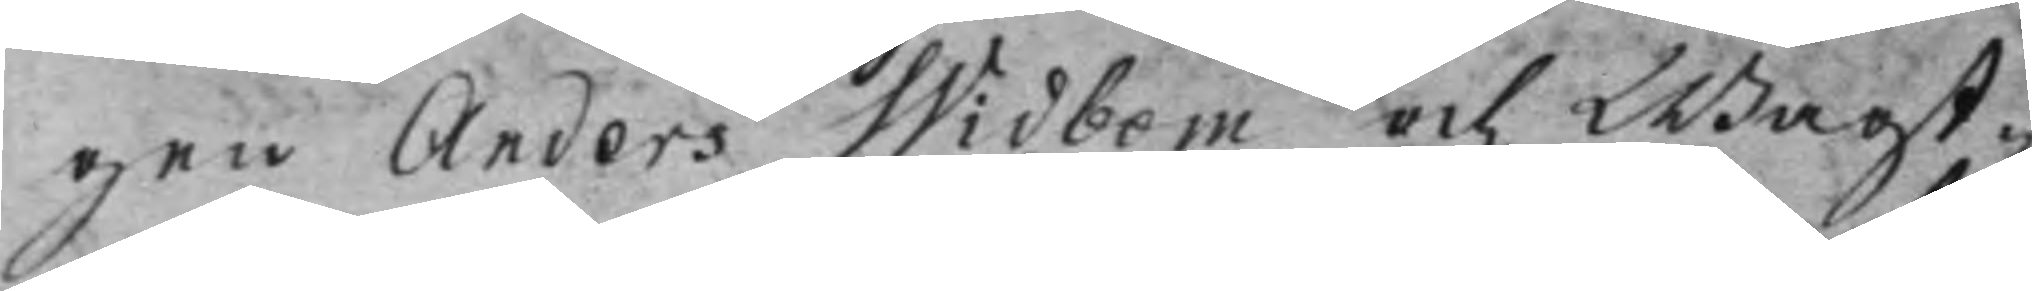gen Anders Widbom och Wagt¬
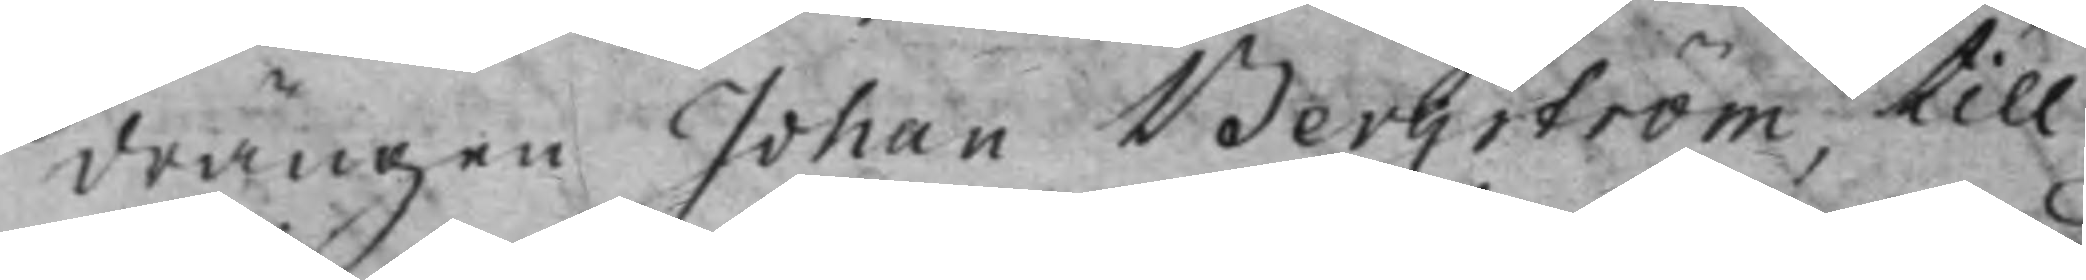drängen Johan Bergström, till
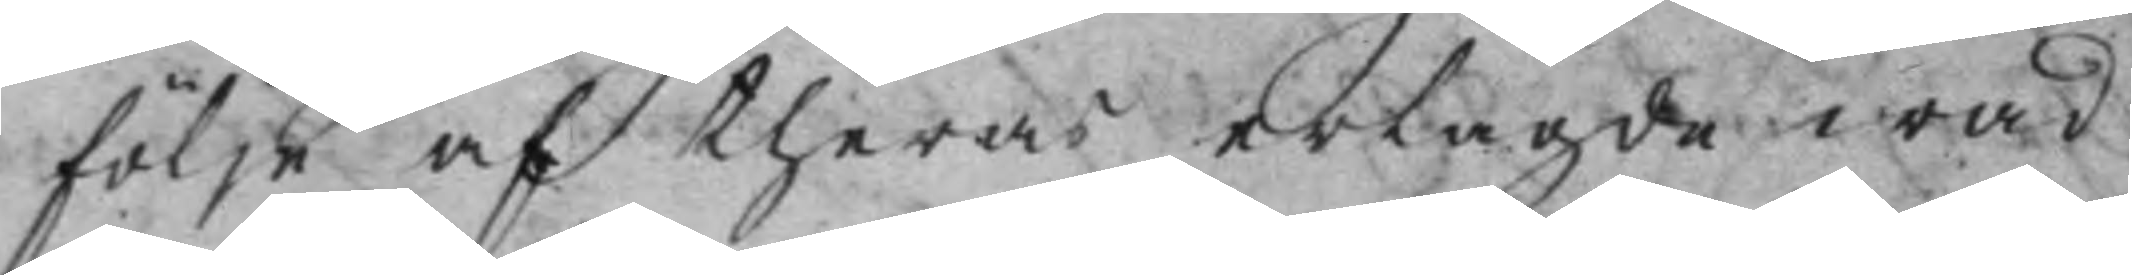följe af theras erlagde wad
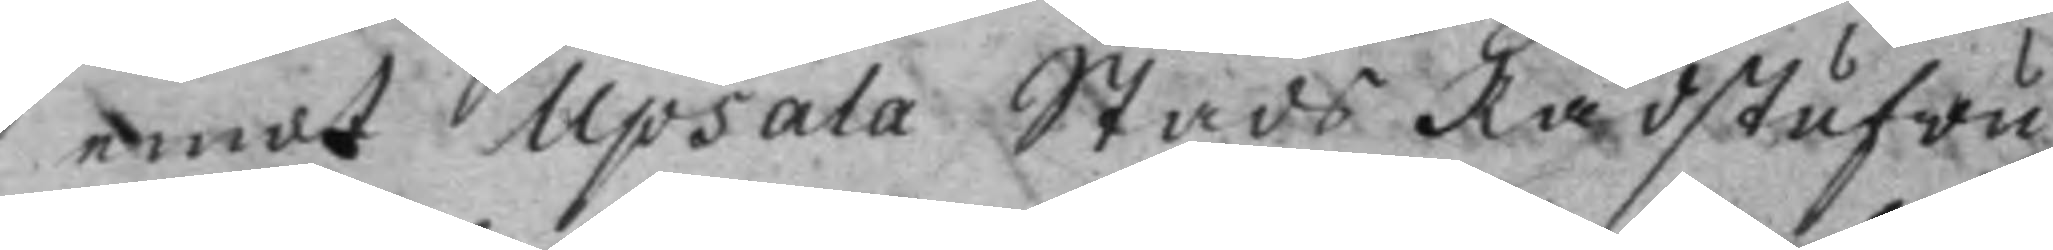emot Upsala Stads Rådstufwu¬
